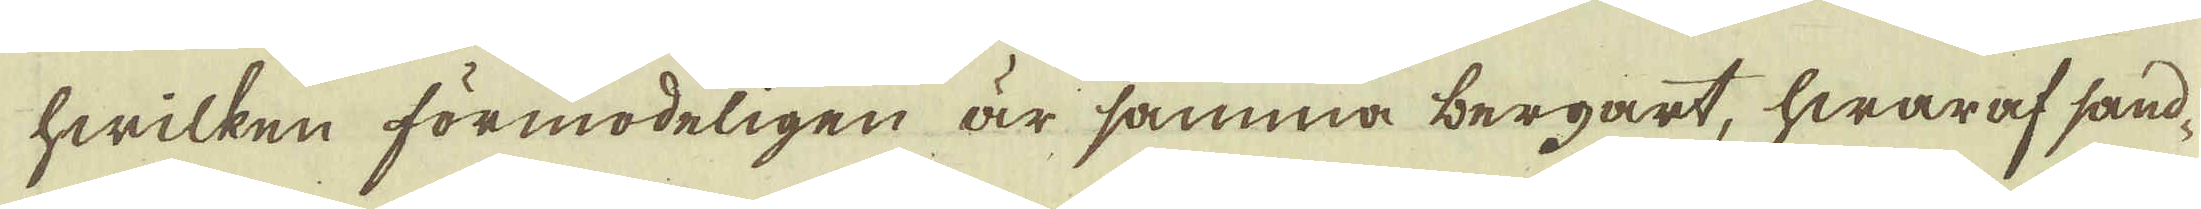hwilken förmodeligen är samma bergart, hwaraf sand-
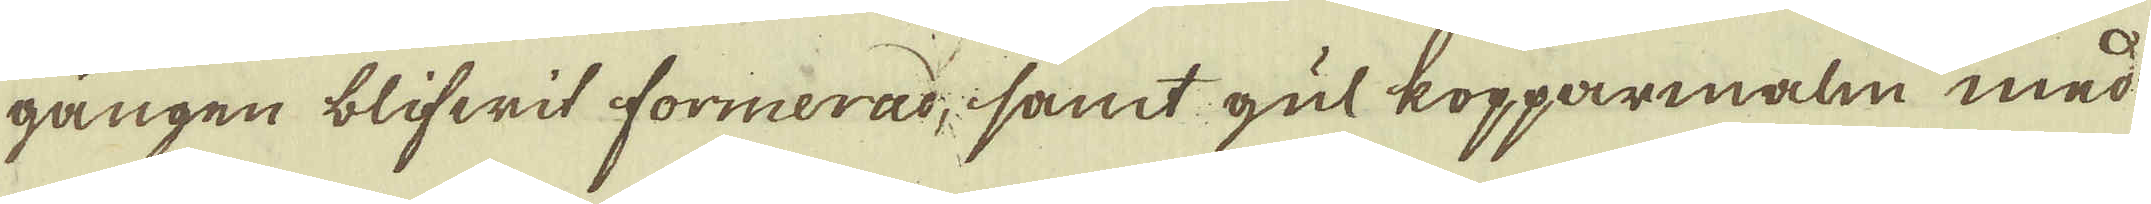gången blifwit formerad, samt gul kopparmalm med
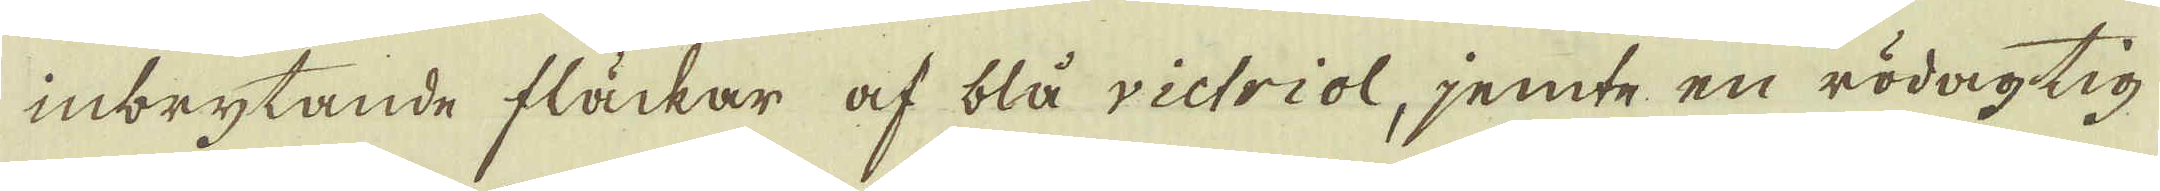inbrytande fläckar af blå victriol, jemte en rödagtig
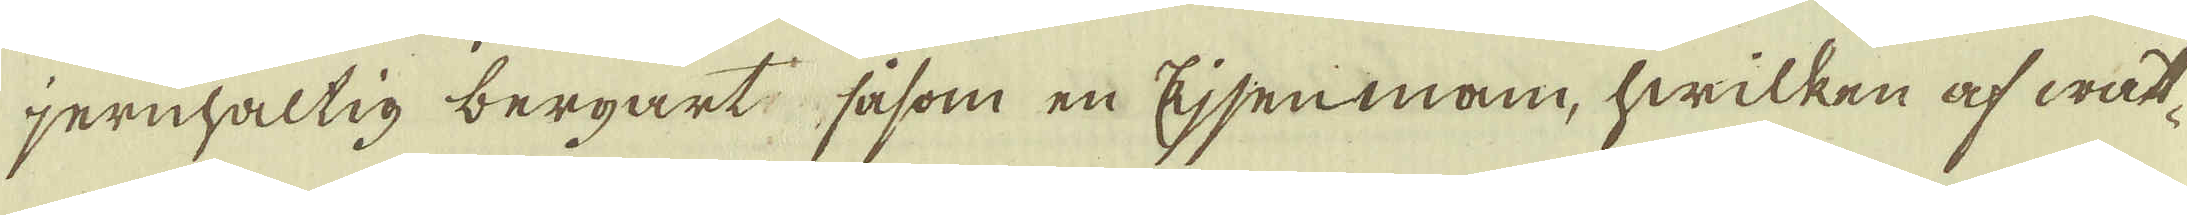jernhaltig bergart såsom en Eijsenmann, hwilken af watt-
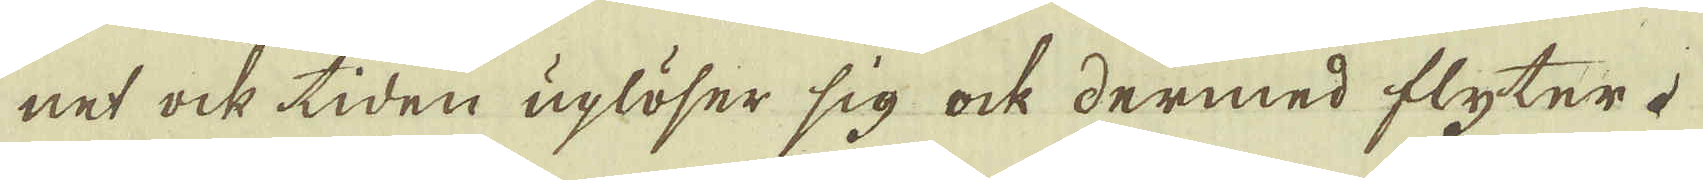net ock tiden uplöser sig ock dermed flyter.
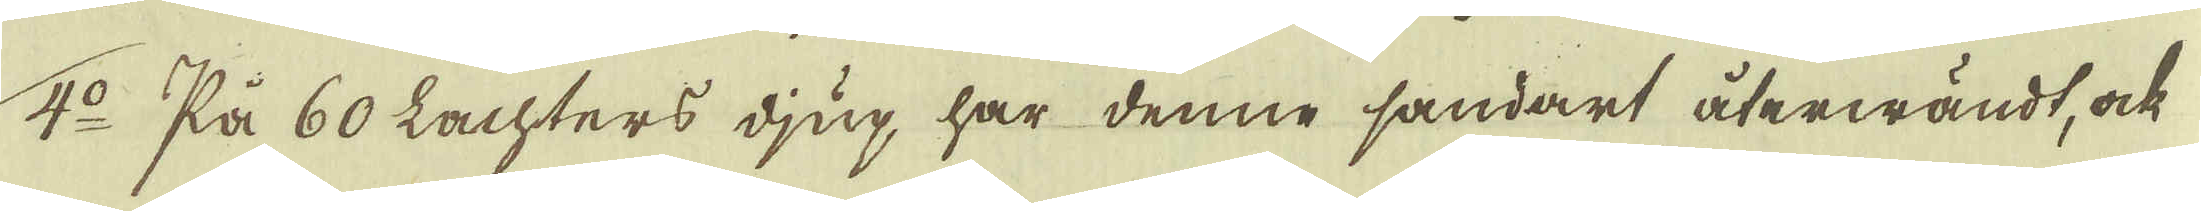4:o På 60 Lachters djup har denne sandart återwändt, ock
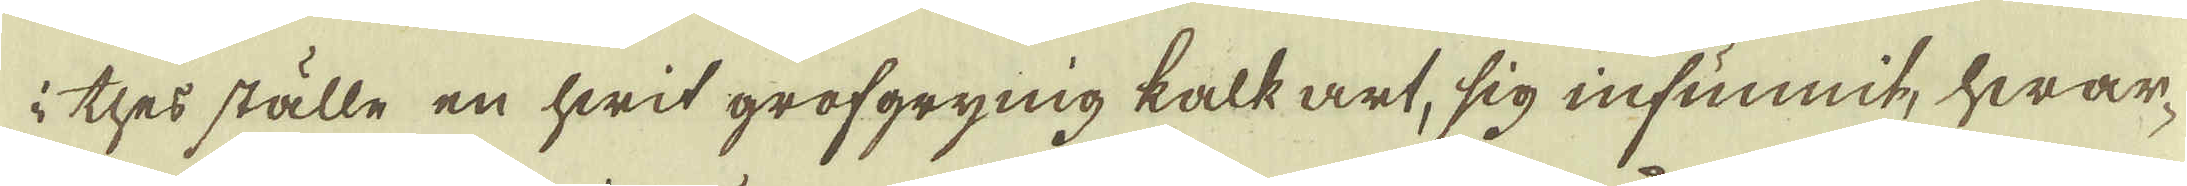i thes ställe en hwit grofgrynig kalk art, sig infunnit, hwar-
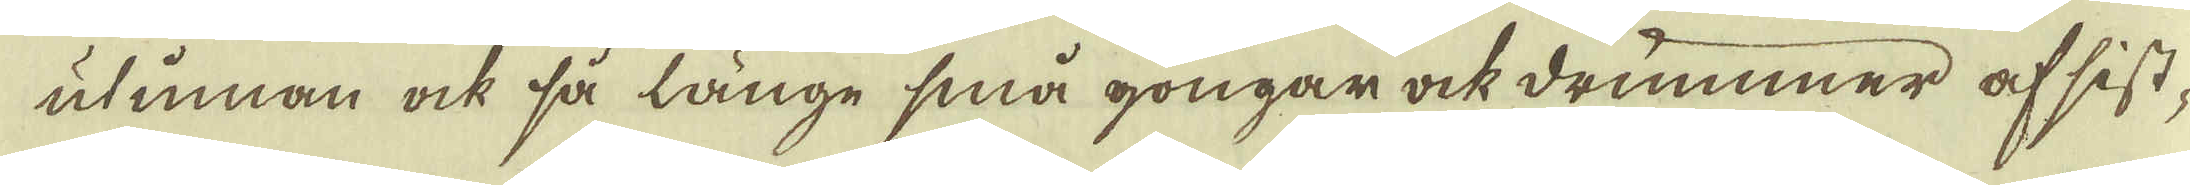utinnan ock så länge små gongar ock drummer af sist-
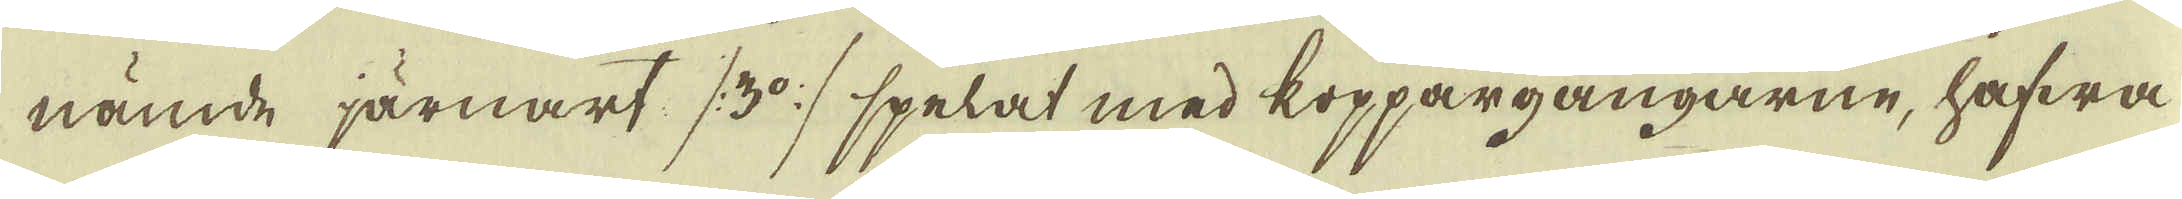nämde järnart (3:o) spelat med koppargångarne, hafwa
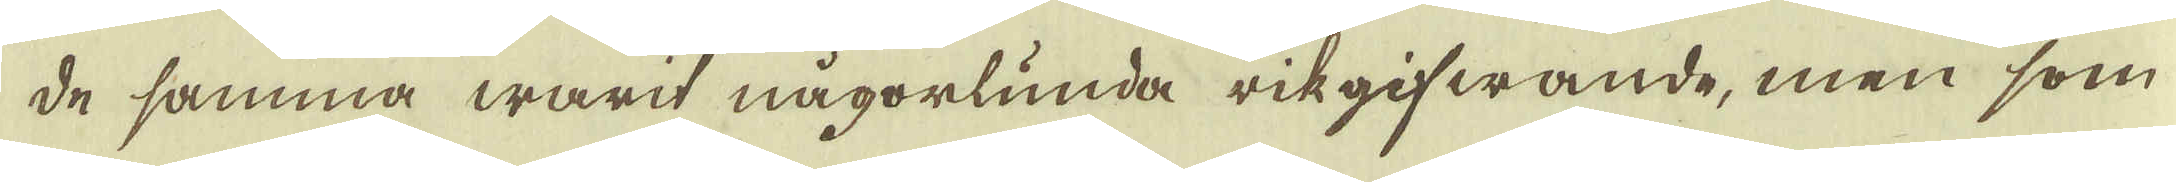de samma warit någorlunda rikgifwande, men som
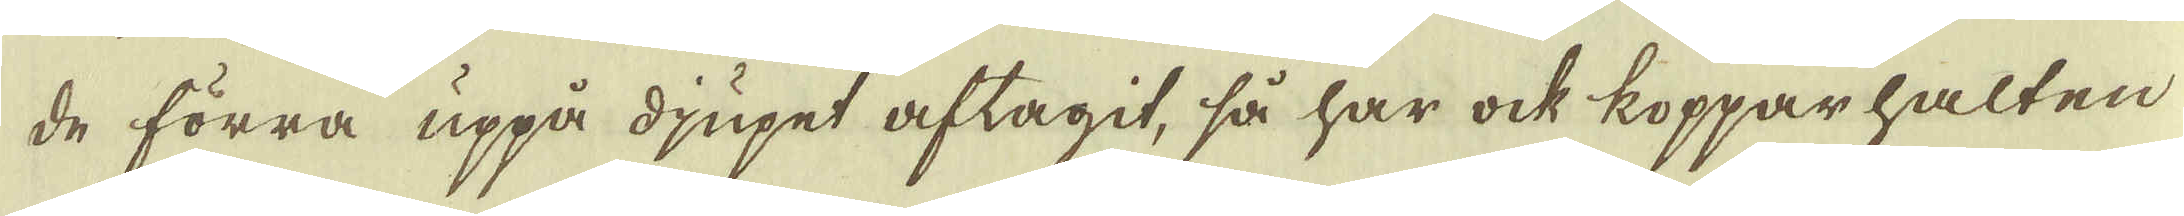de förra uppå djupet aftagit, så har ock kopparhalten
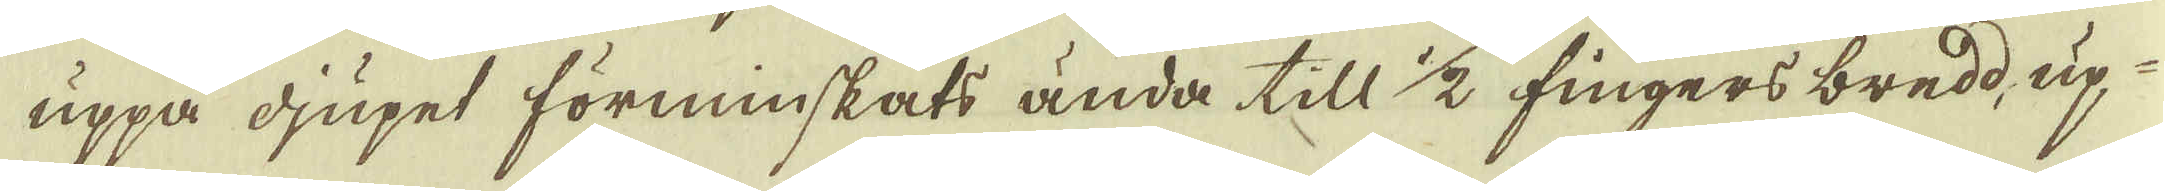uppå djupet förminskats ända till 1/2 fingers bredd, up-
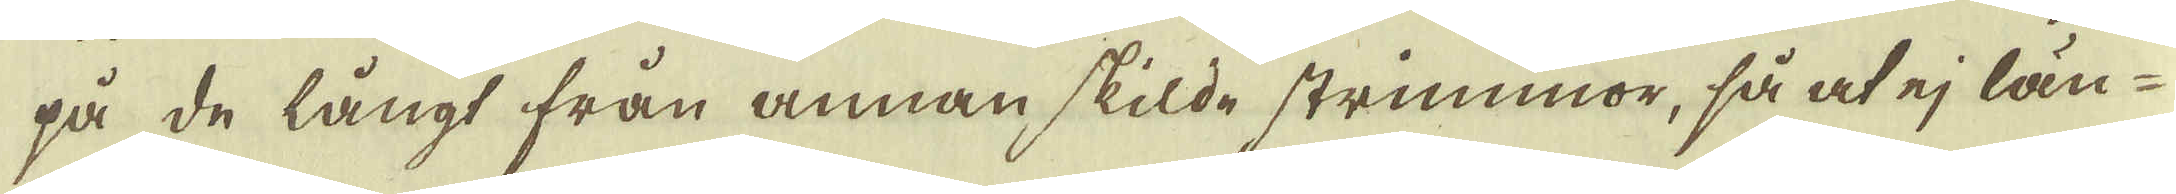på de långt från annan skilde strimmor, så at ej län-
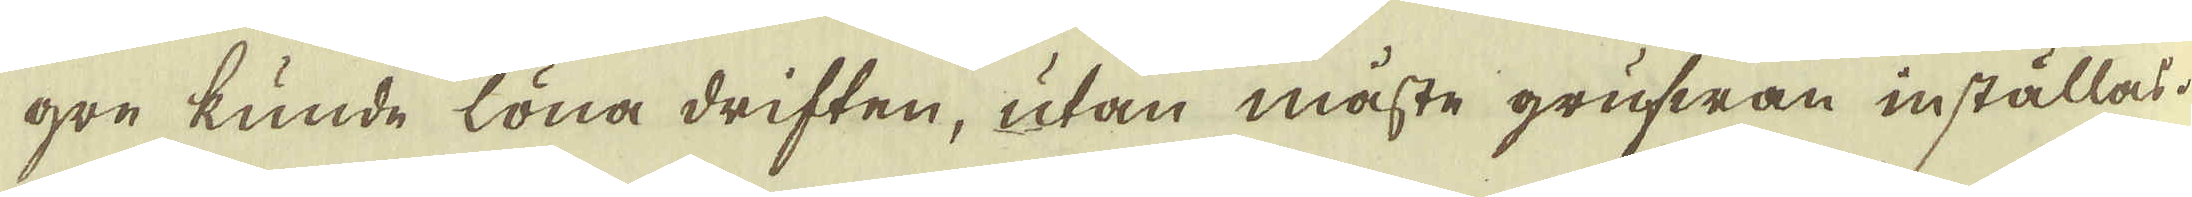gre kunde löna driften, utan måste grufwan inställas.
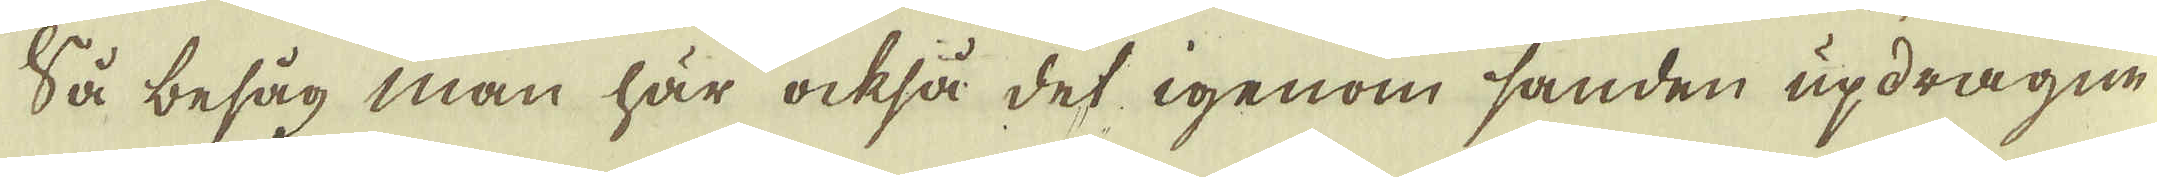Så besåg man här också det igenom sanden updragne
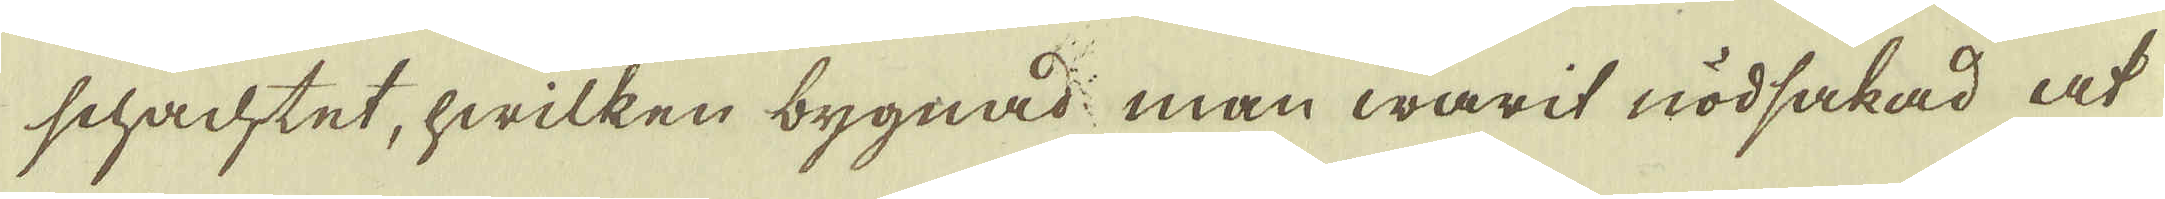schachtet, hwilken bygnad man warit nödsakad at
